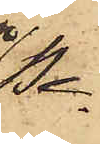Pe¬
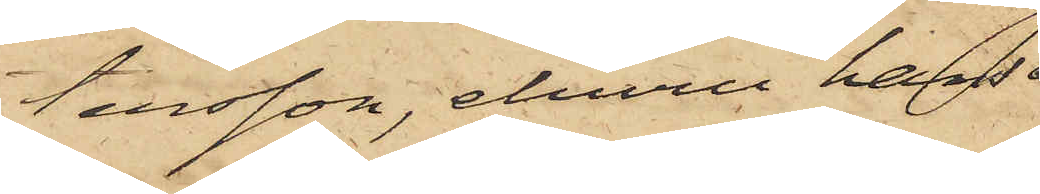tersson, ehuru hans
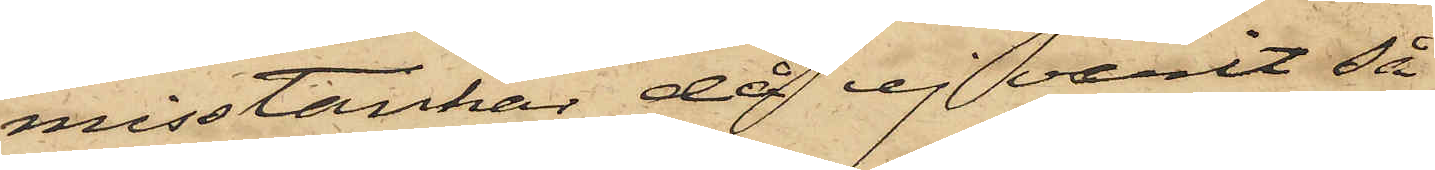misstankar, då ej varit så
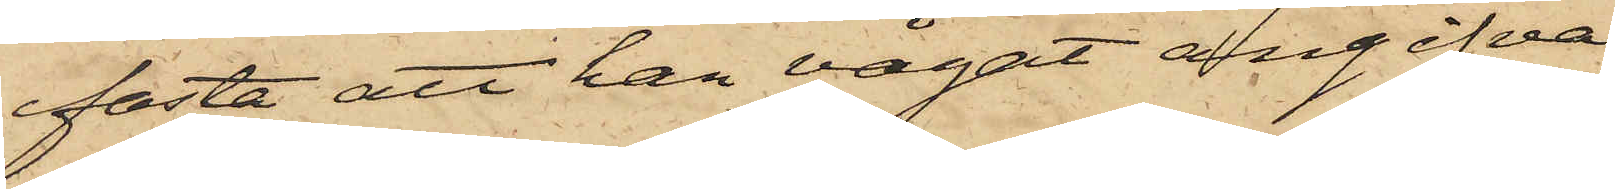fasta att han vågat angifva
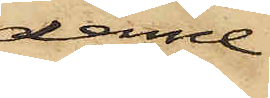denne;
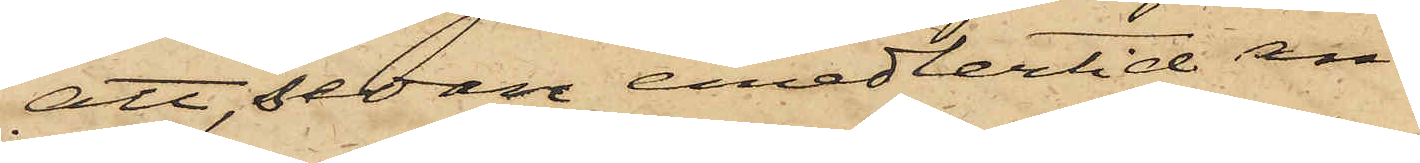att, sedan emedlertid an¬
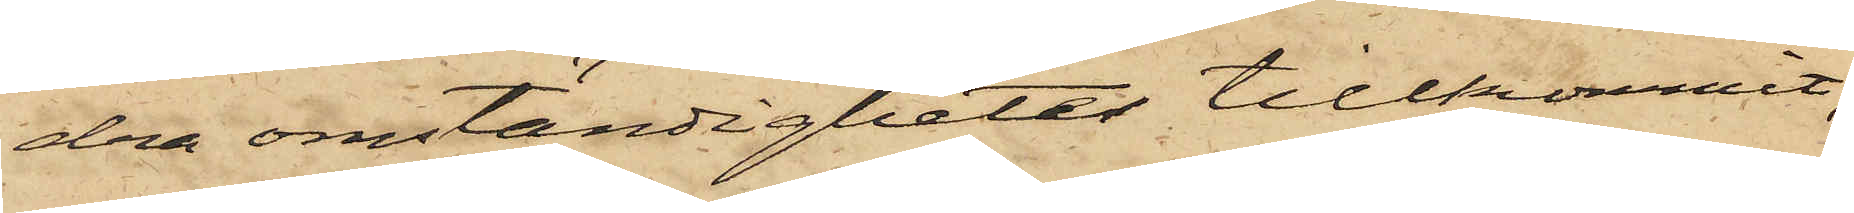dra omständigheter tillkommit,
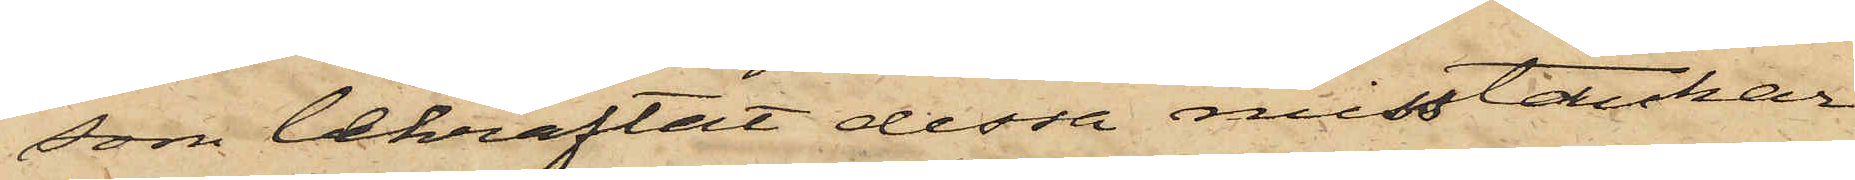som bekräftat dessa misstankar
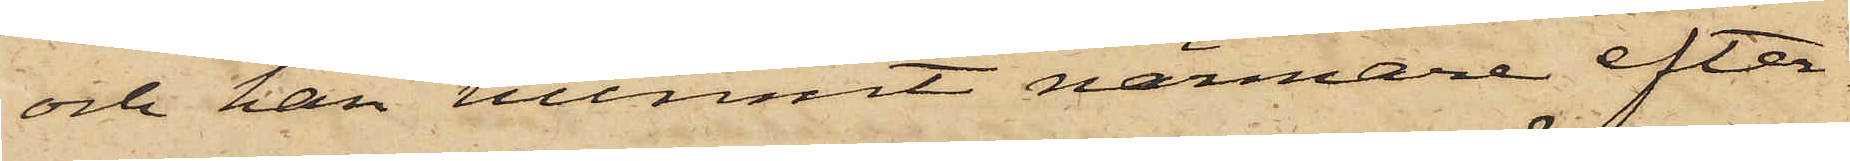och han hunnit närmare efter¬
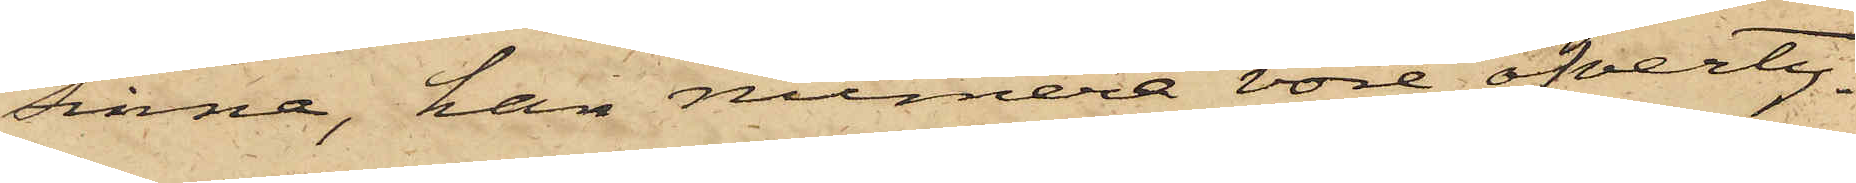sinna, han numera vore öfverty¬
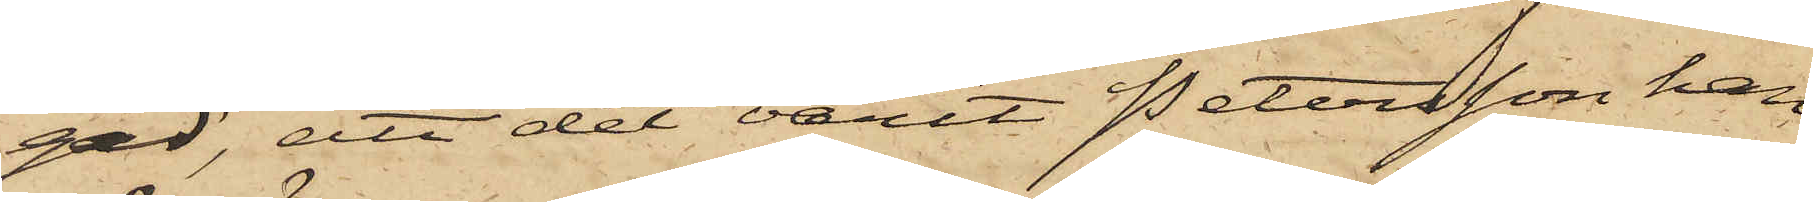gad, att det varit Petersson han
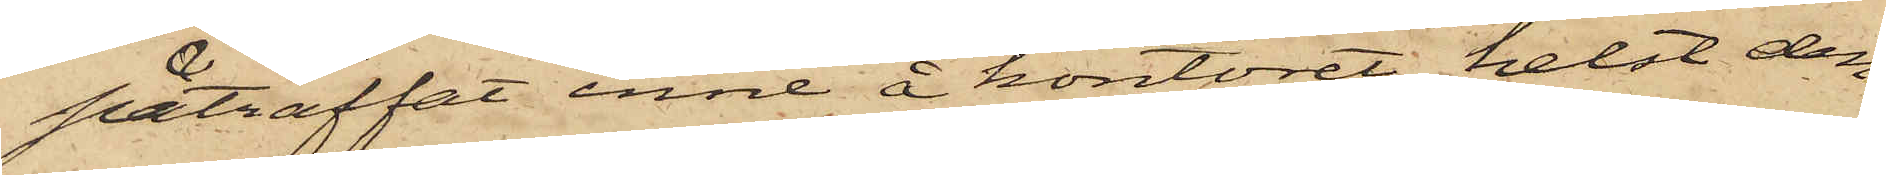påträffat inne å kontoret, helst den¬
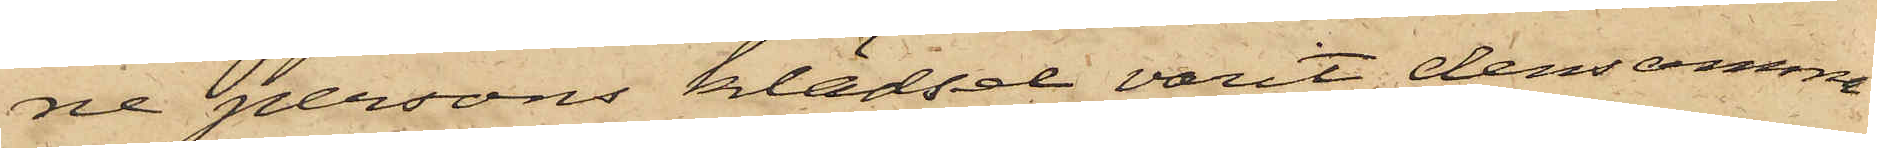ne persons klädsel varit densamme
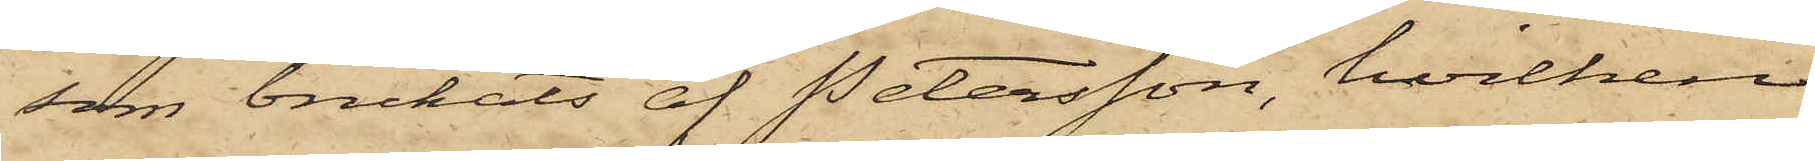som brukats af Petersson, hvilken
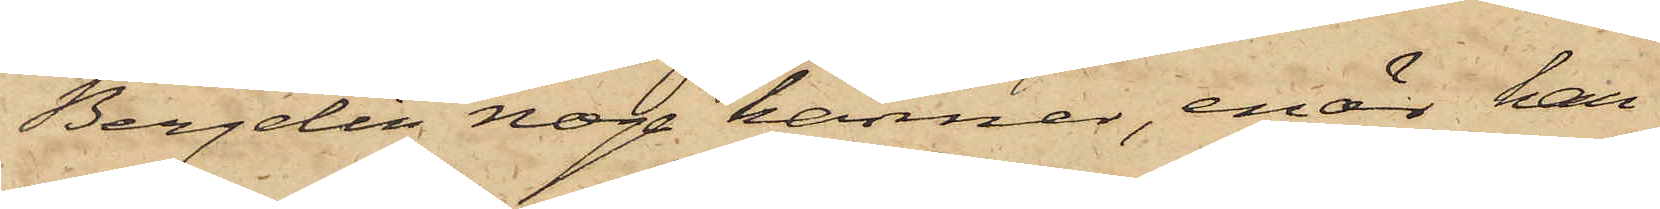Bergelin noga känner, enär han
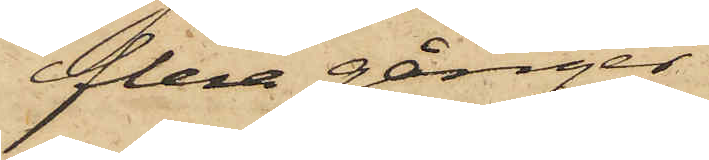flera gånger
